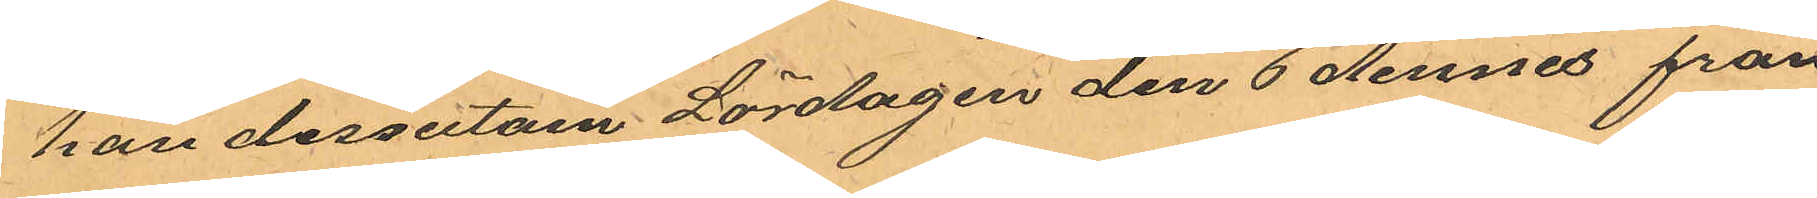han dessutom Lördagen den 6 dennes från
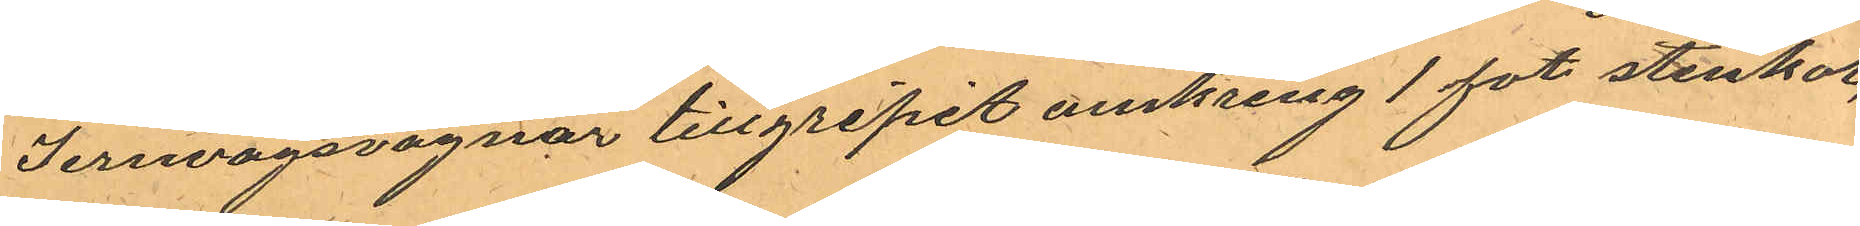Jernvägsvagnar tillgripit omkring 1 fot stenkol,
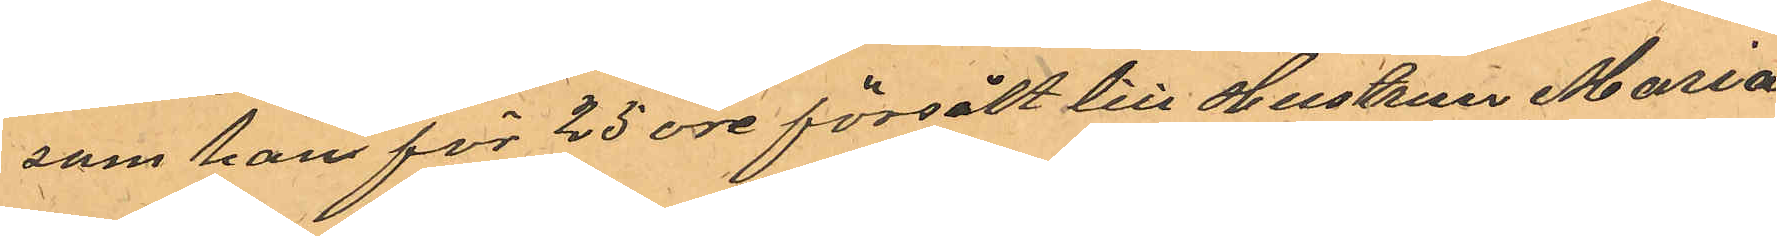som han för 25 öre försålt till Hustrun Maria
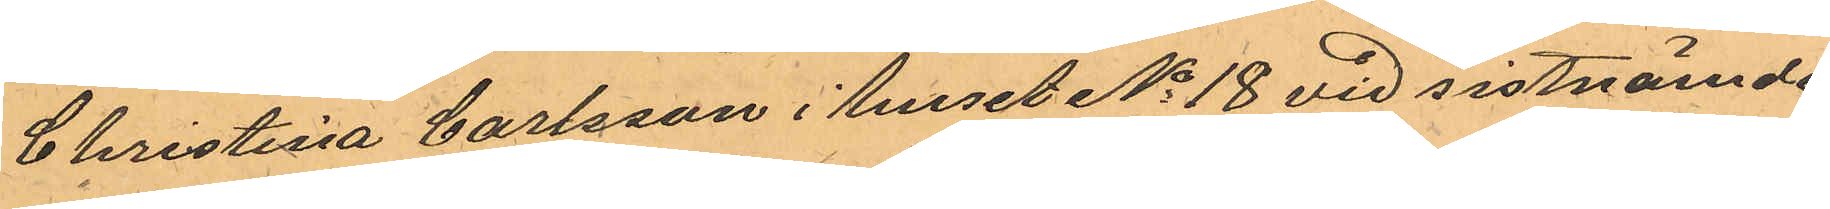Christina Carlsson i huset No 18 vid sistnämde
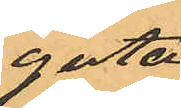gata.
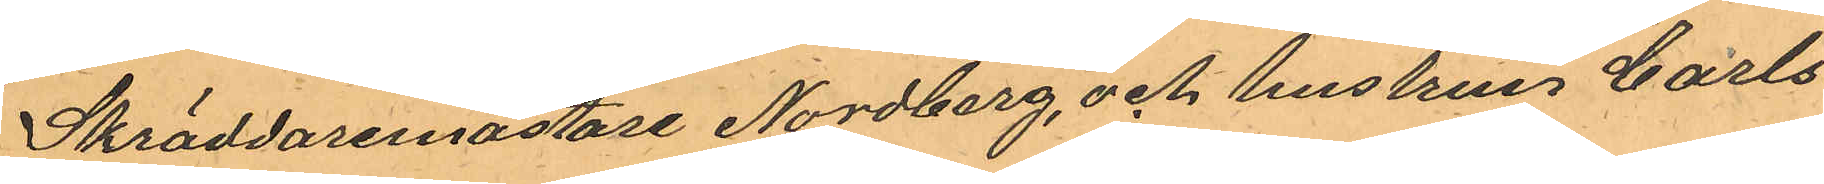Skräddaremästare Nordberg, och hustrun Carls¬
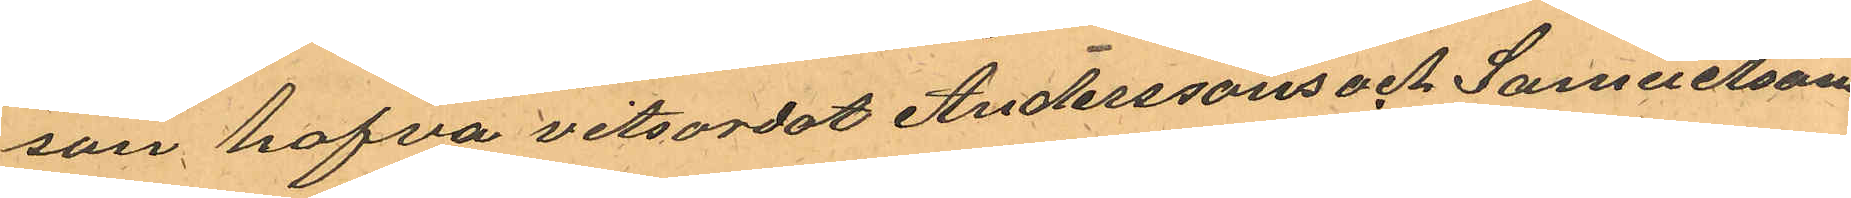son hafva vitsordat Anderssons och Samuelssons
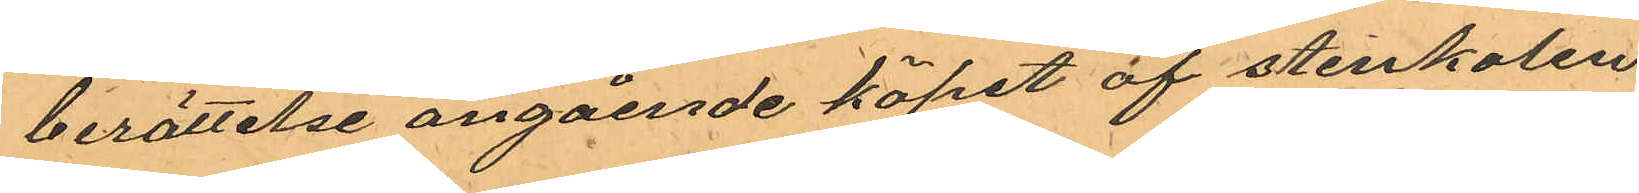berättelse angående köpet af stenkolen
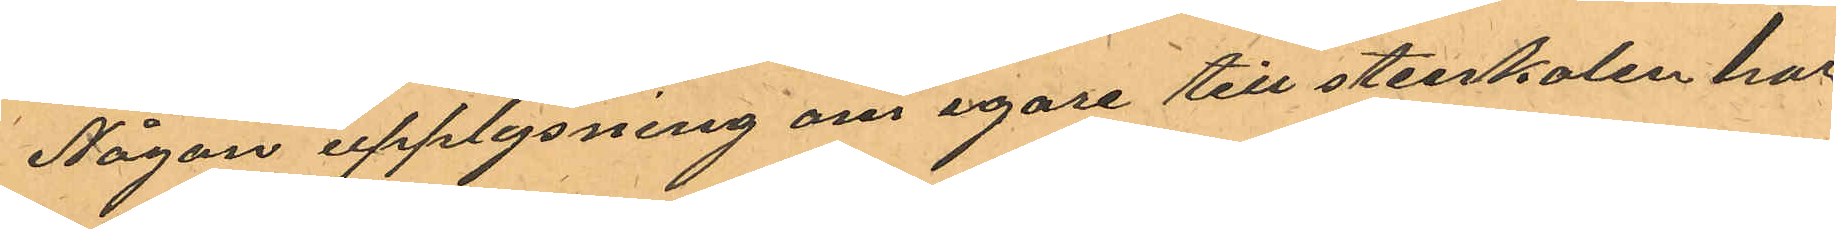Någon upplysning om egare till stenkolen har
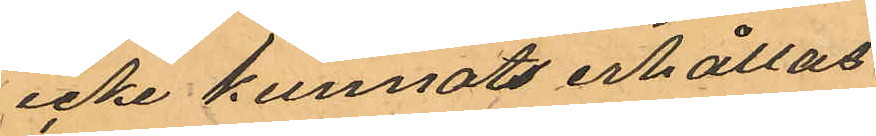icke kunnat erhållas.
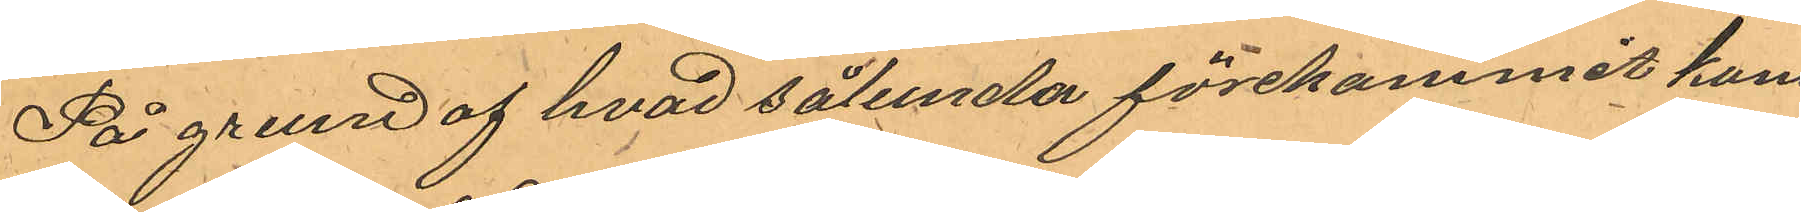På grund af hvad sålunda förekommit kom¬
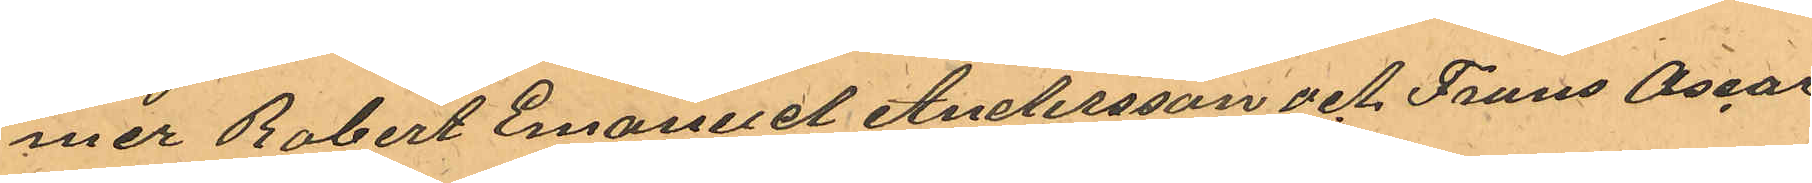mer Robert Emanuel Andersson och Frans Oscar
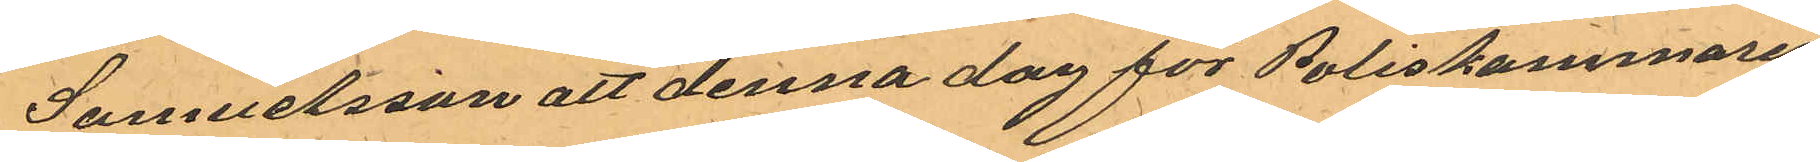Samuelsson att denna dag för Poliskammaren
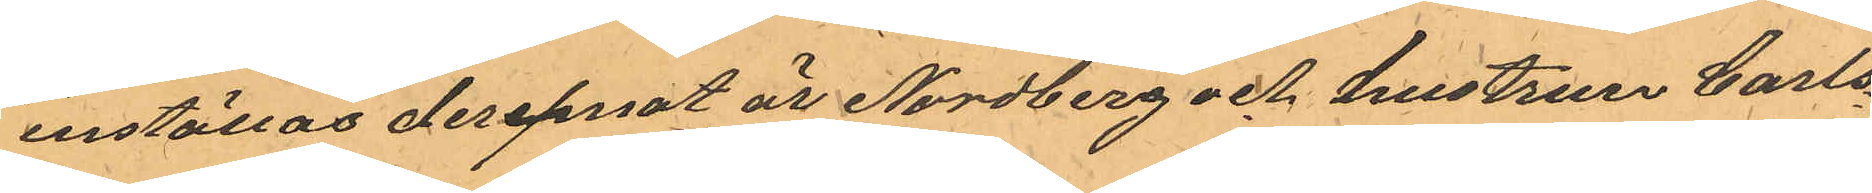inställas deremot är Nordberg och hustrun Carls¬
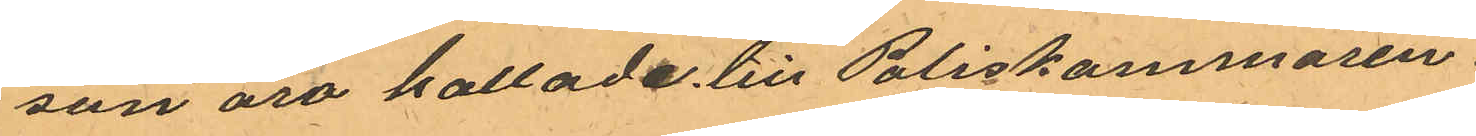son äro kallade till Poliskammaren.
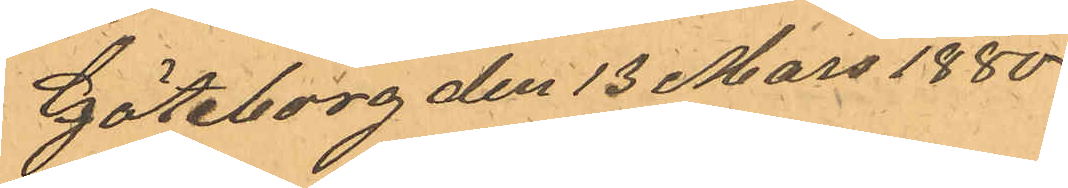Göteborg den 13 Mars 1880
